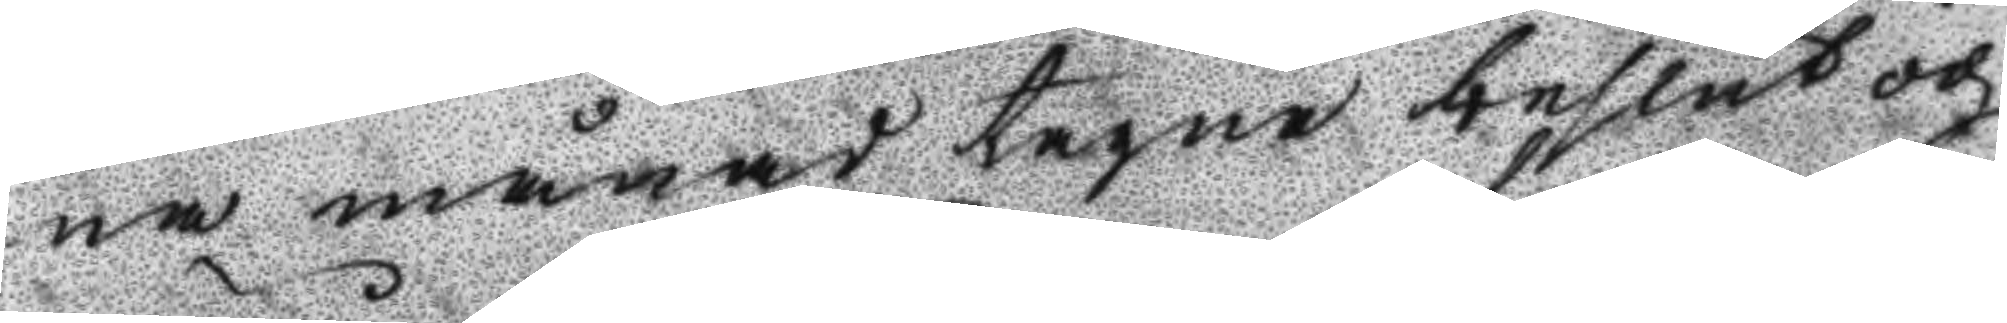na månad tagne beslut och
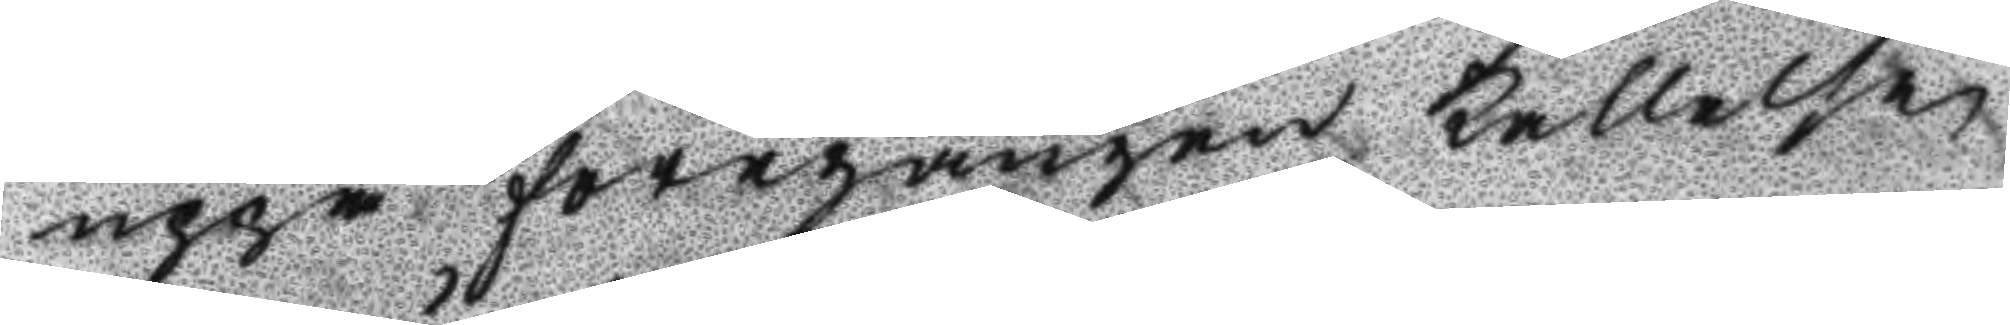uppå föregången kallelse
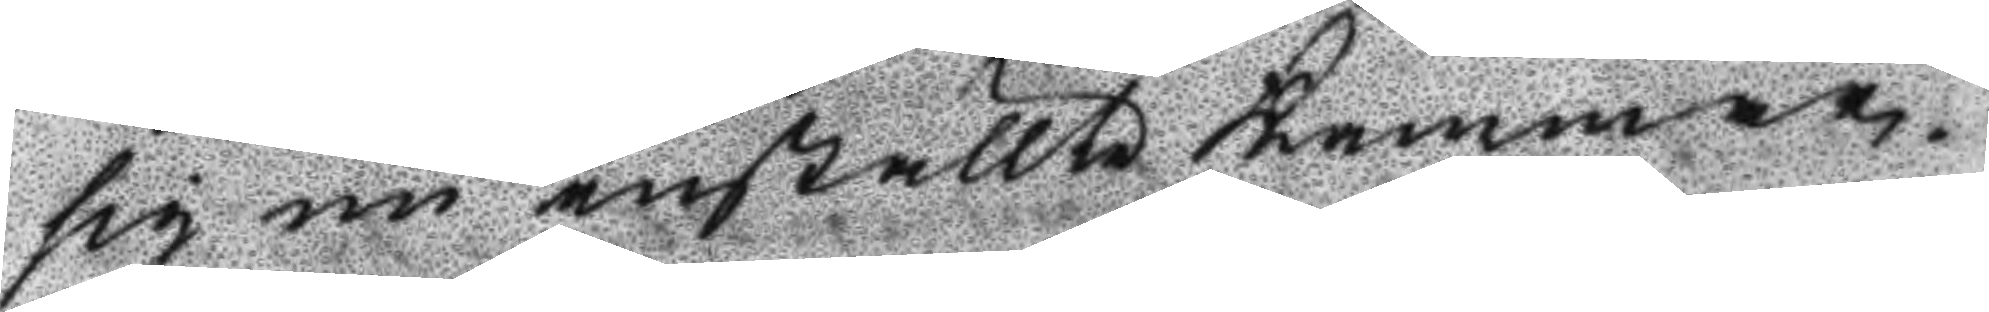sig nu inställte Kammar¬
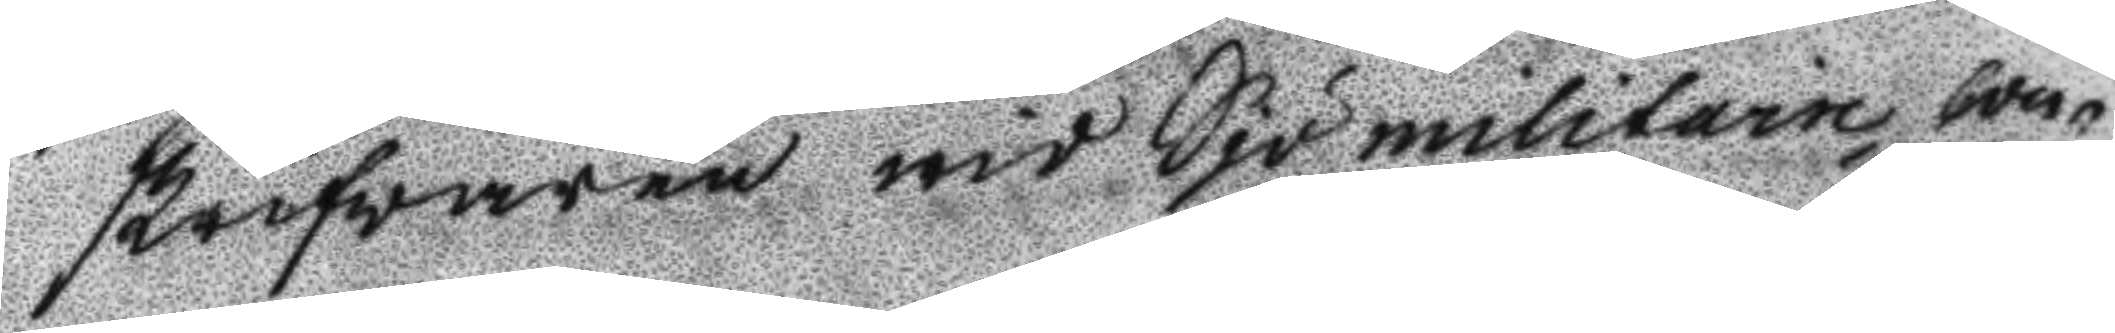skrifwaren wid Sjömilitarie con¬
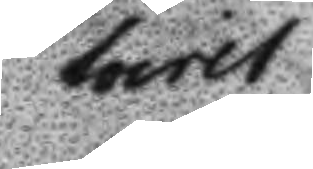toret
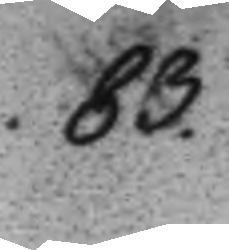83.
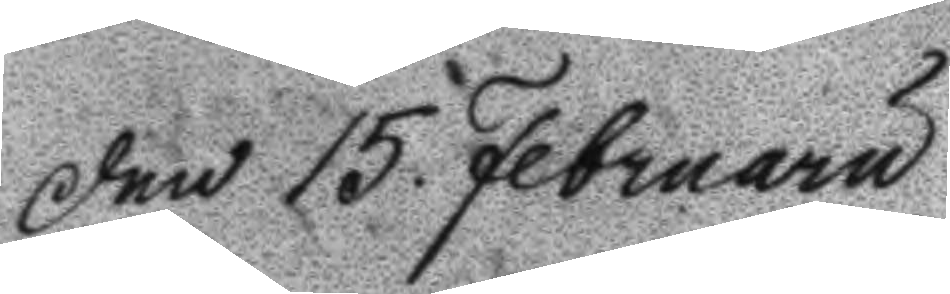Den 15 Februaru
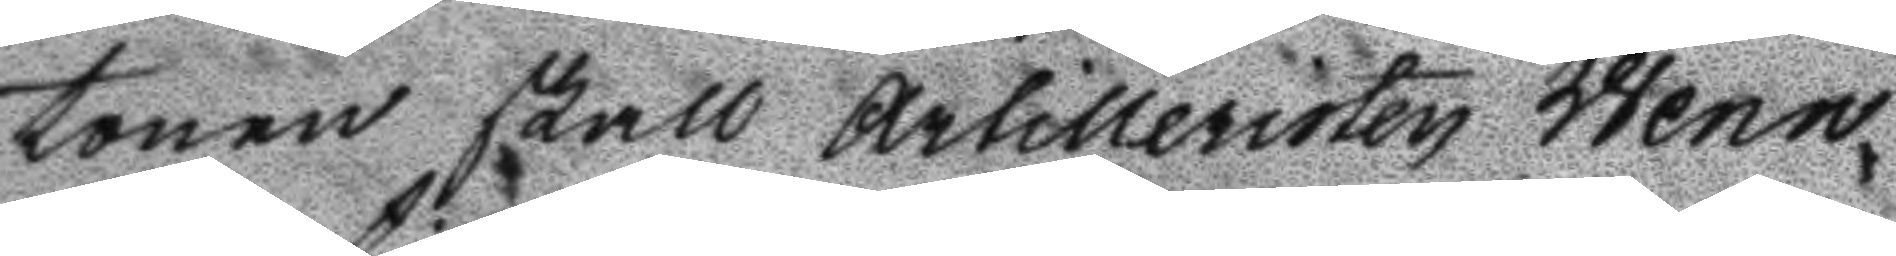tonen skall Artilleristen Wenn¬
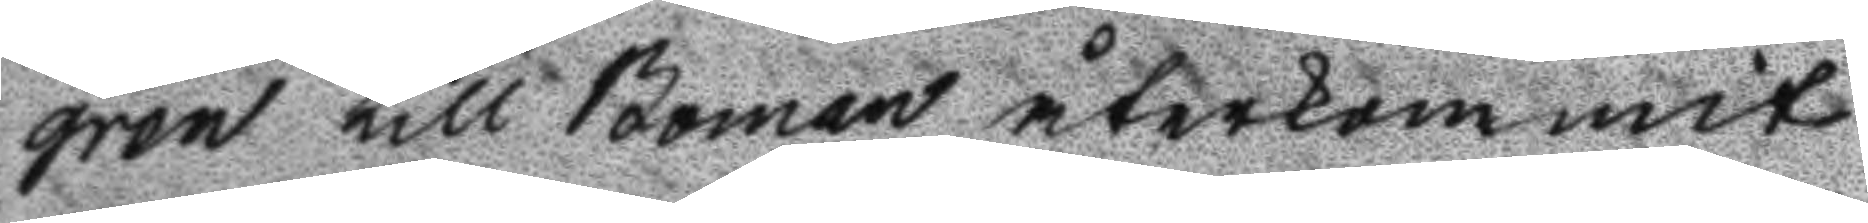gren till Boman återkommit
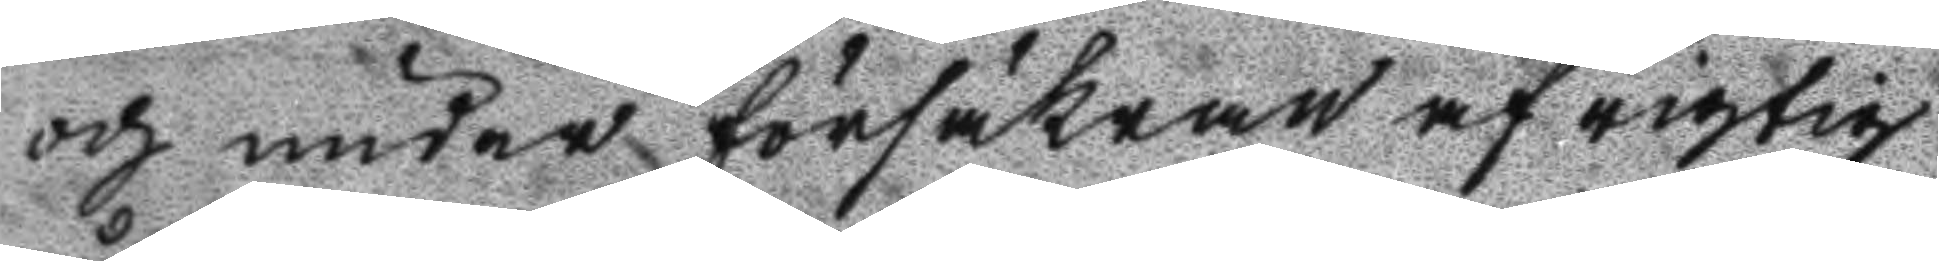och under försäkran af rigtig
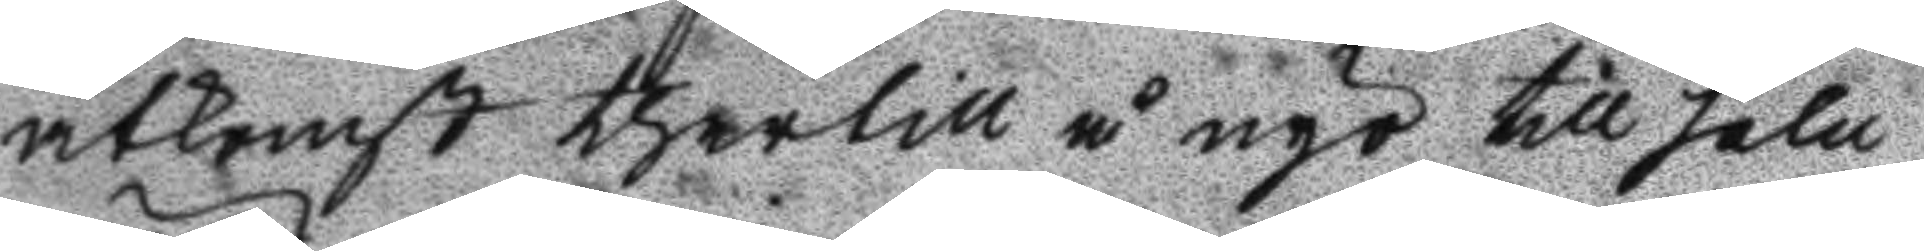åtkomst thertill å nyo till salu
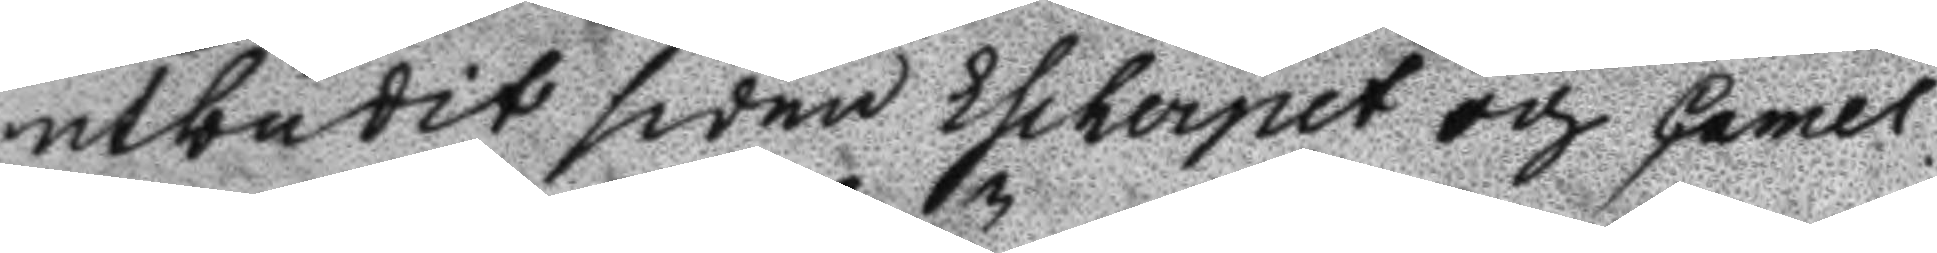utbudit sedan Escherpet och Camel
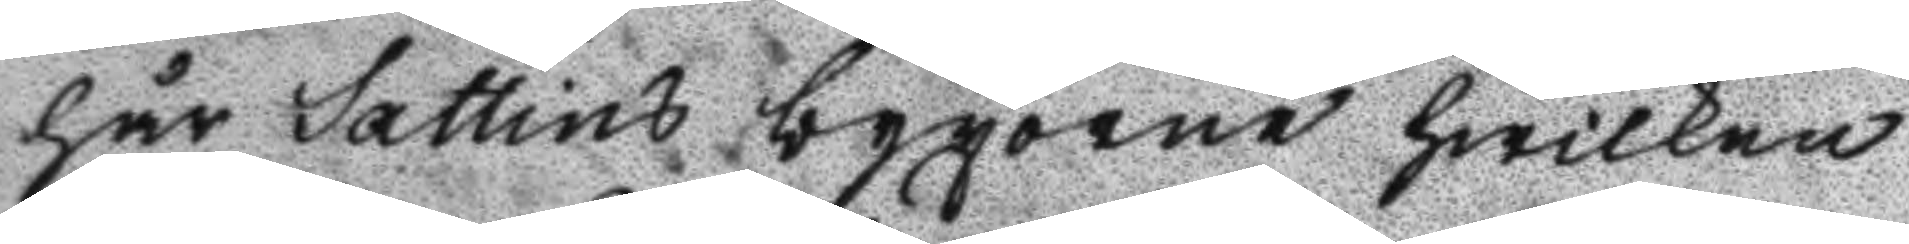hår Sattins byxorne hwilken
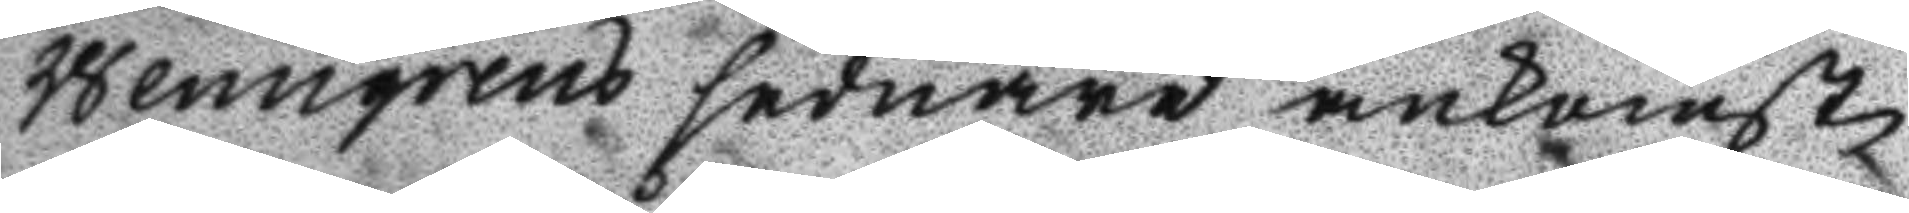Wenngrens sednare ankomst
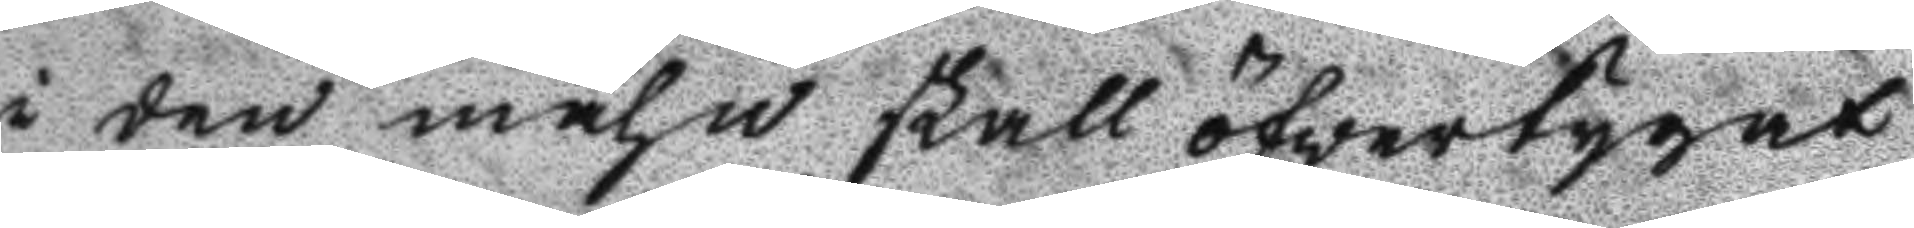i den måhn skall öfvertygat
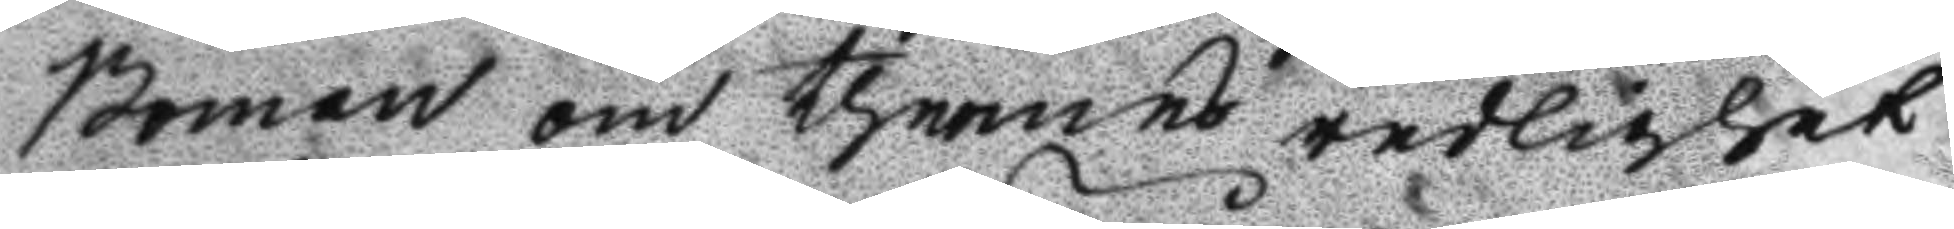Boman om thennes redlighet
